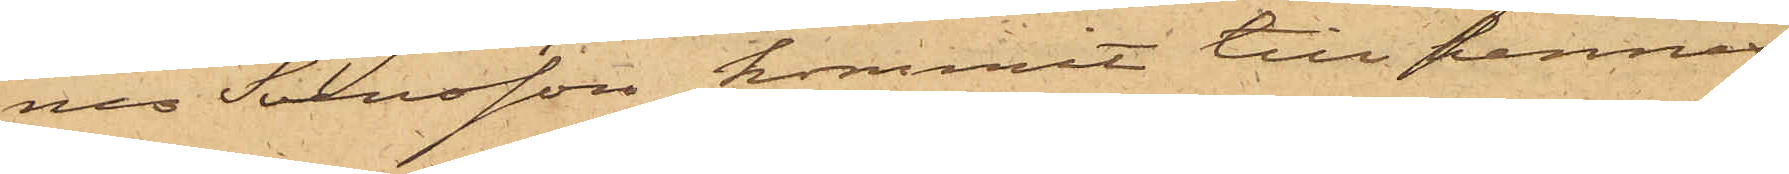nes Svensson kommit till hennes
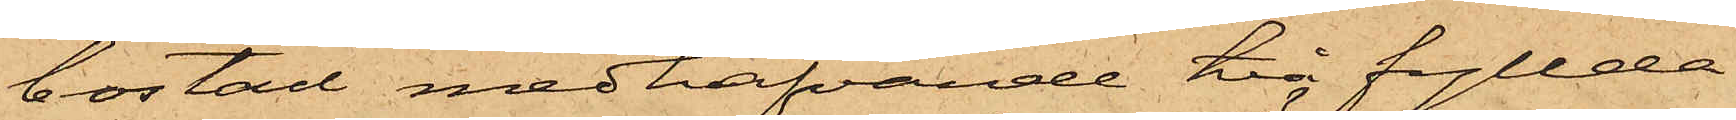bostad medhafvande två fyllda
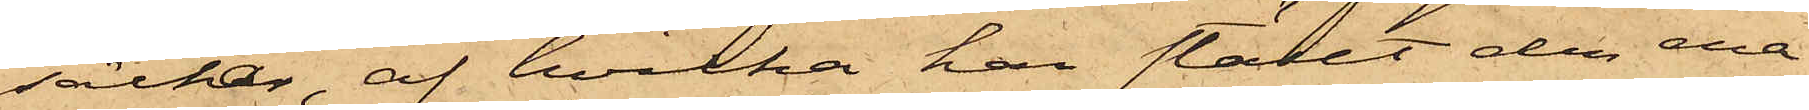säckar, af hvilka han ställt den ena
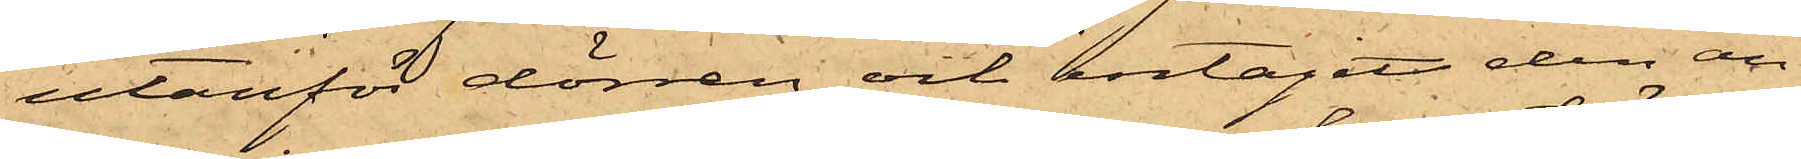utanför dörren och intagit den an¬
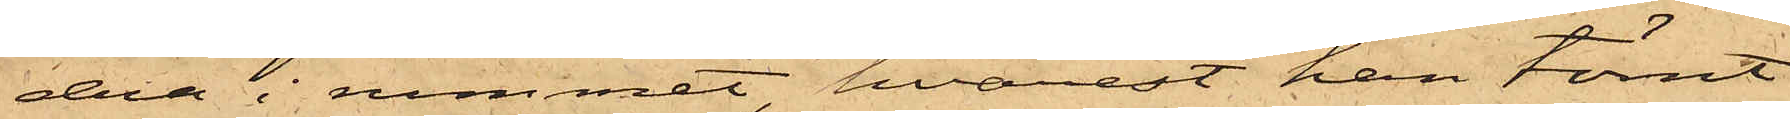dra i rummet, hvarest han tömt
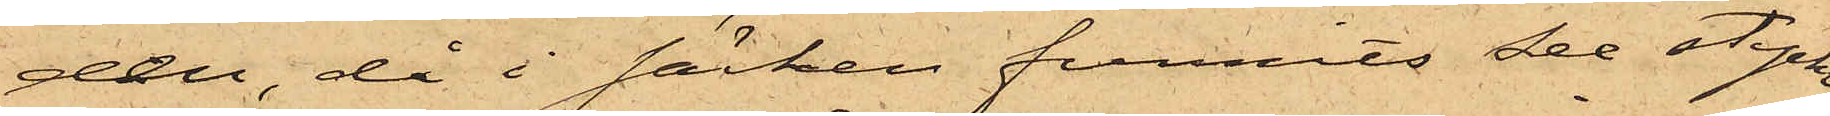den, då i säcken funnits sex stycken
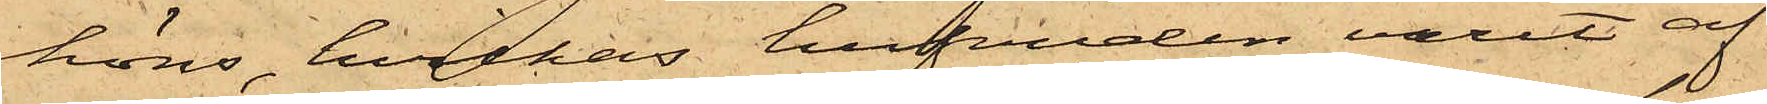höns, hvilkas hufvuden varit af¬
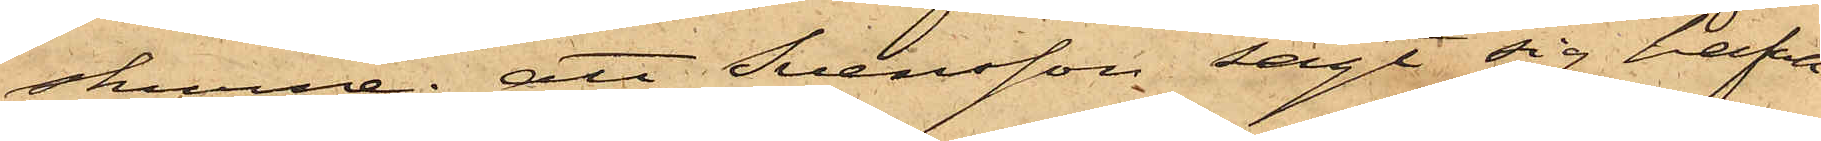skurne; att Svensson sagt sig hafva
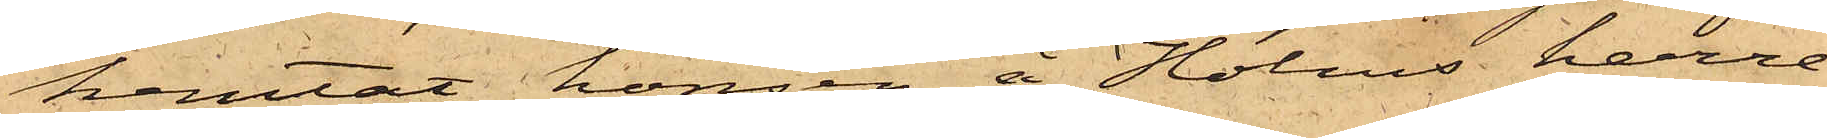hemtat hönsen å Holms herre¬
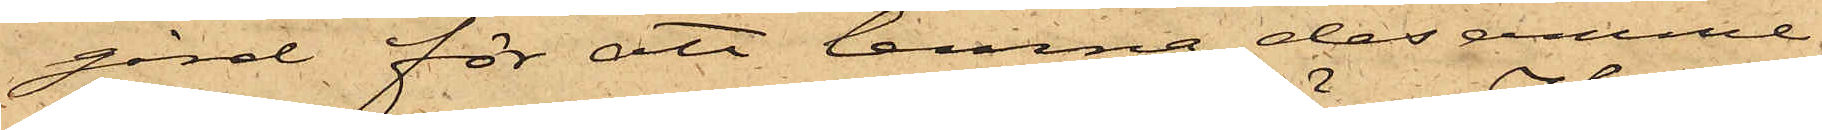gård för att lemna desamme
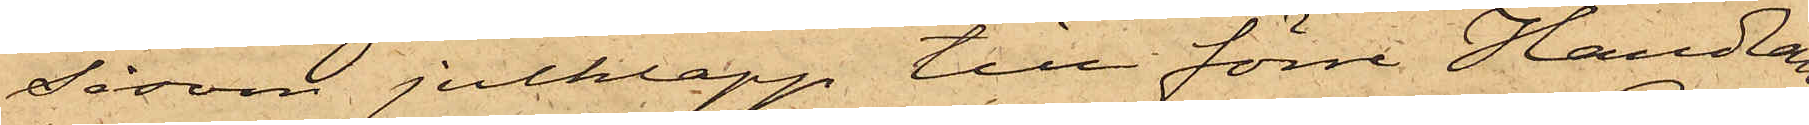såsom julklapp till förre Handlan¬
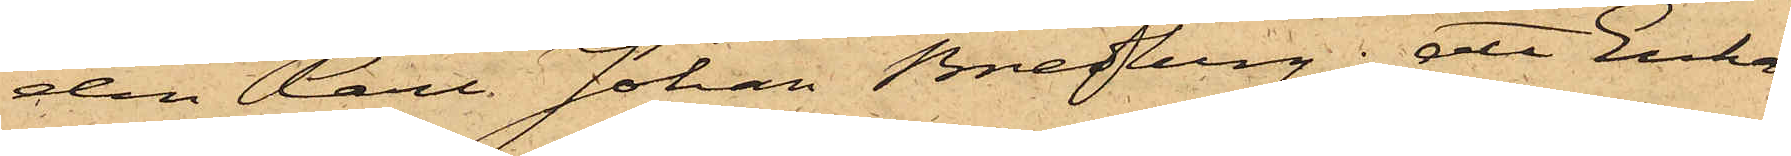den Carl Johan Bredberg; att Enkan
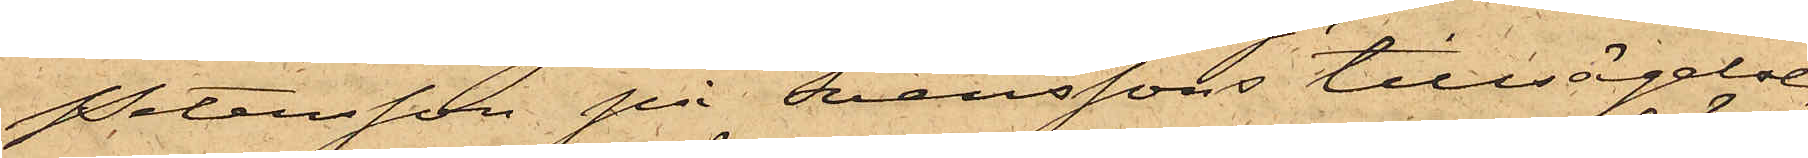Petersson på Svenssons tillsägelse,
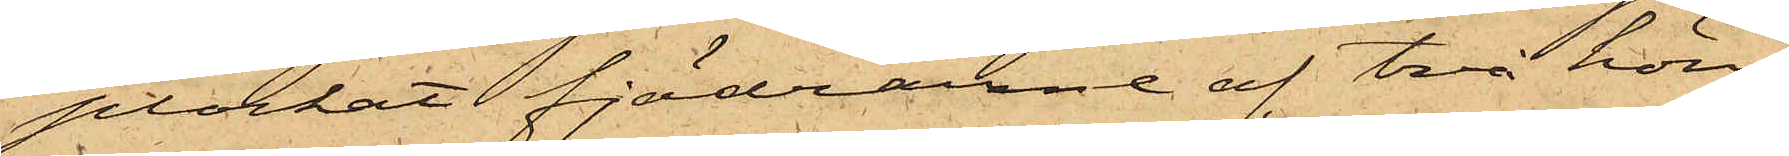plockat fjädrarne af två höns;
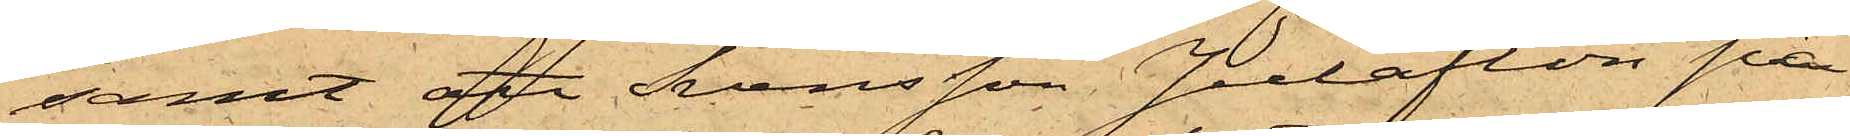samt att Svensson Julafton på
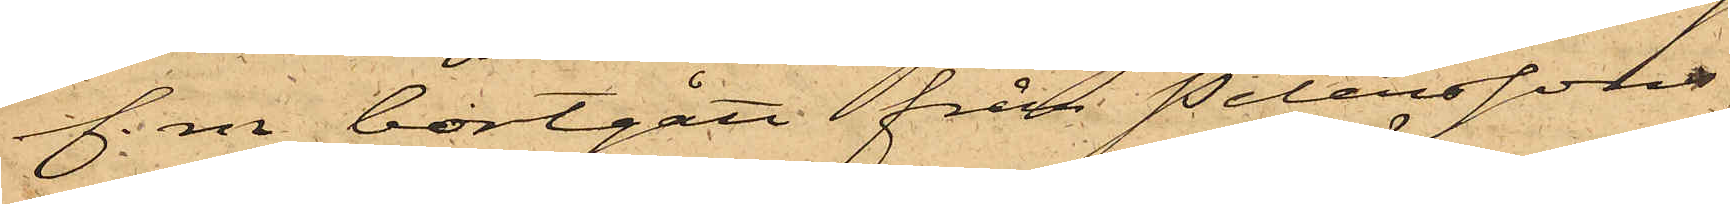f. m bortgått från Peterssons
